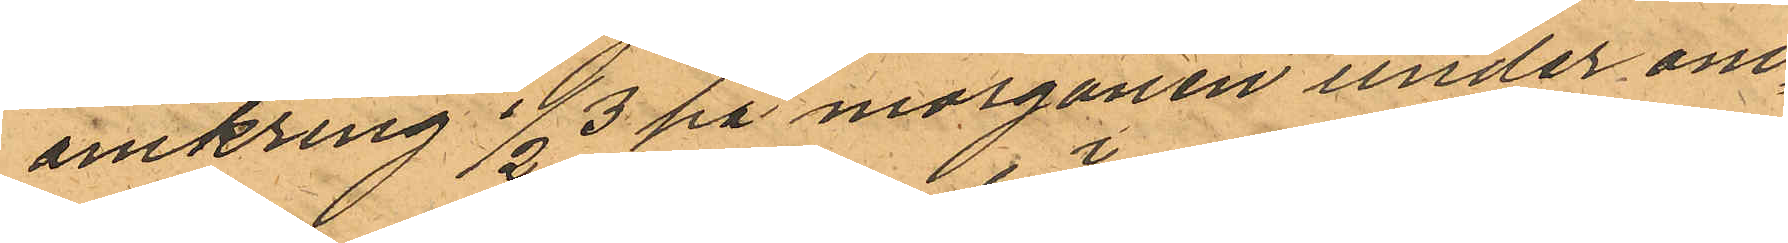omkring 1/2 3 på morgonen under om
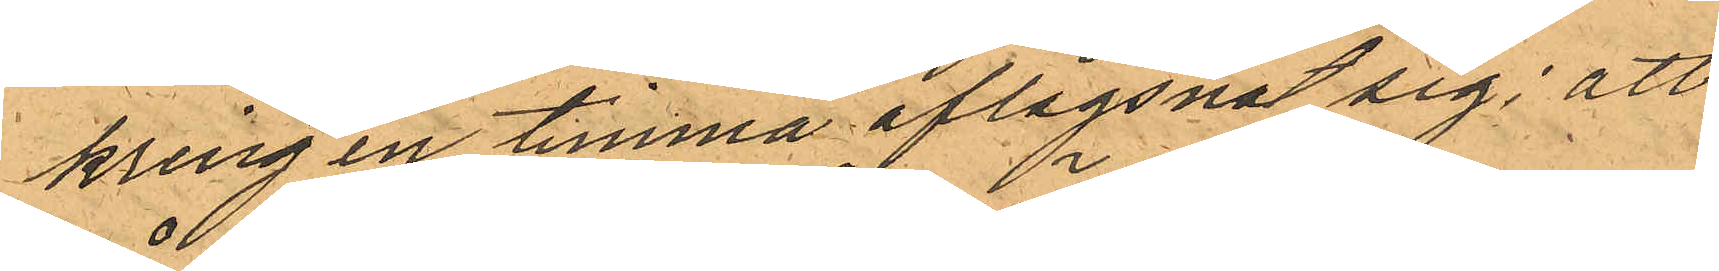kring en timma aflägsnat sig; att
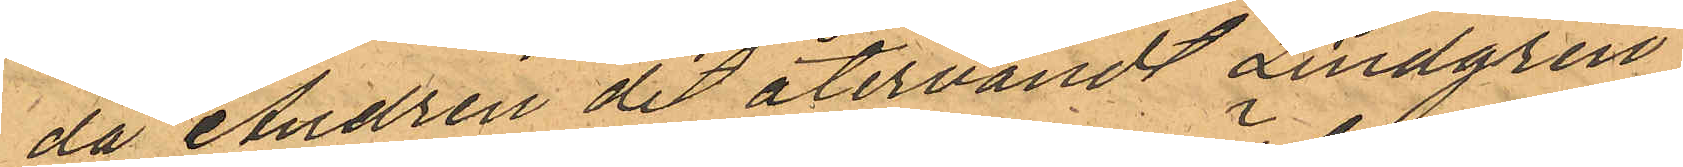då Andrén dit återvändt Lindgren
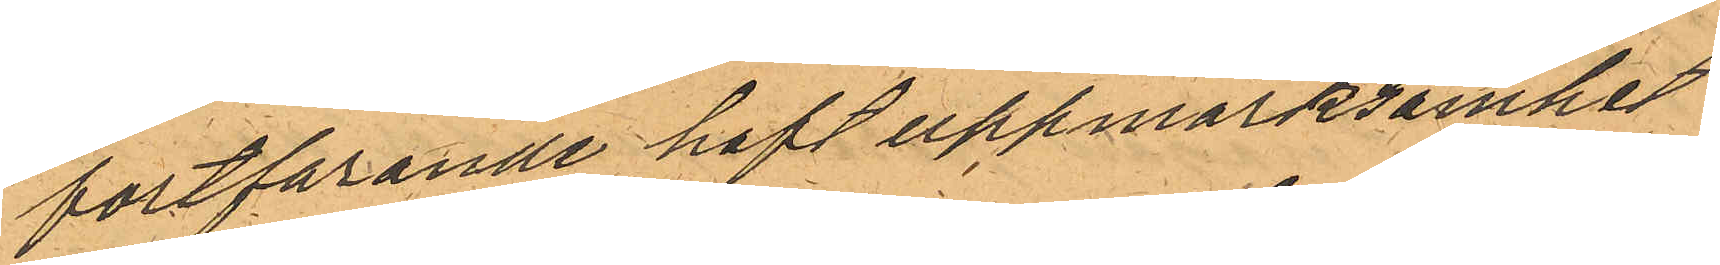fortfarande haft uppmärksamhet
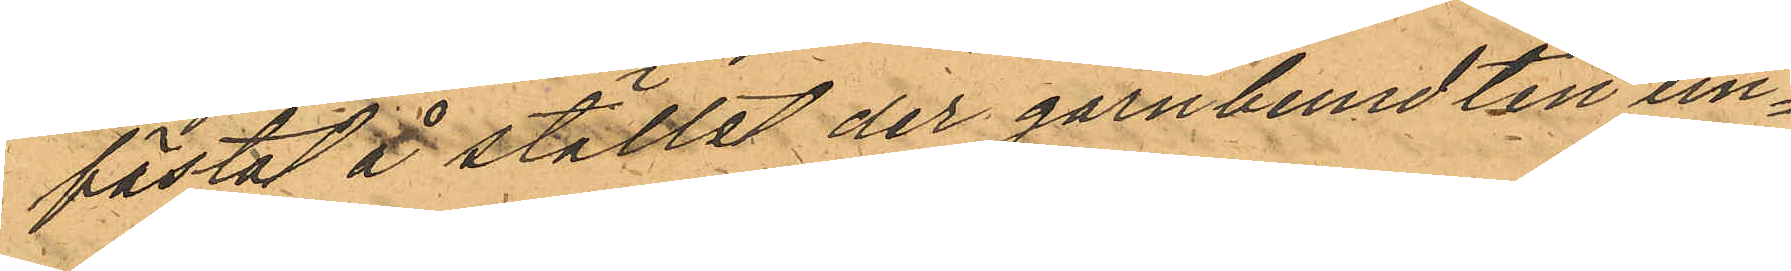fästat å stället der garnbumdten un¬
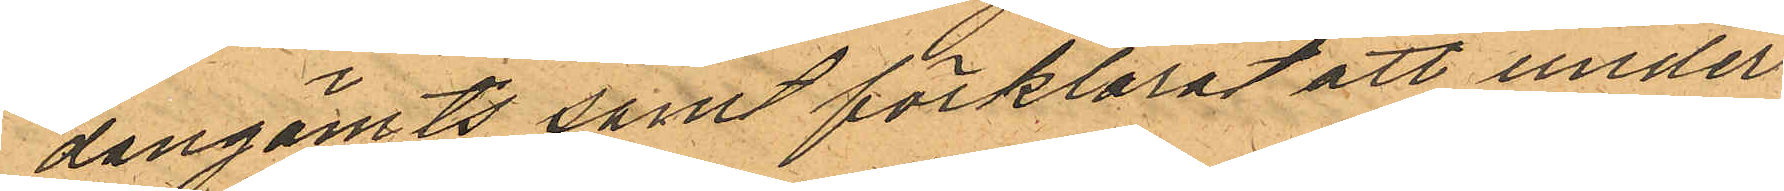dangömts samt förklarat att under
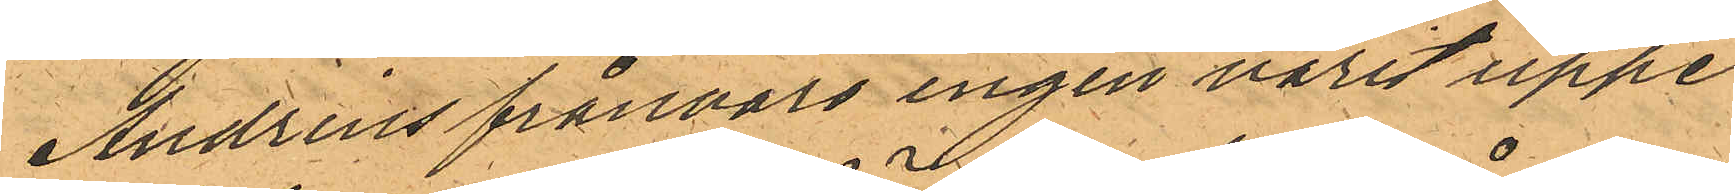Andréns frånvaro ingen varit uppe
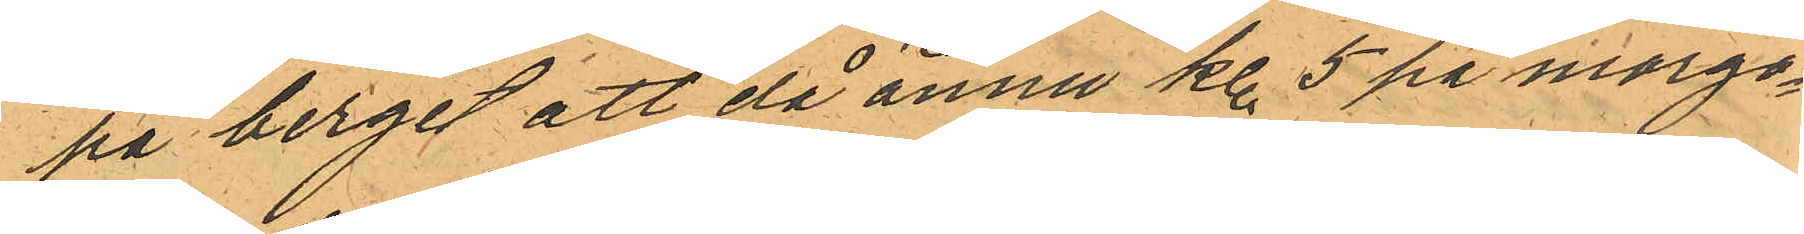på berget att då ännu kl. 5 på morgo¬
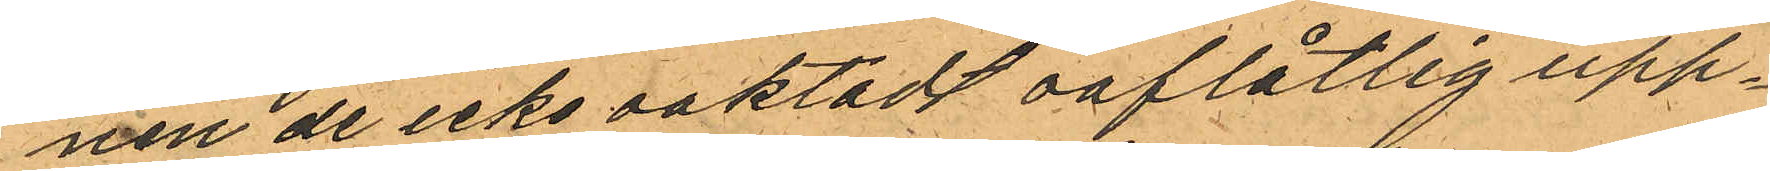nen de icke oaktadt oaflåtlig upp¬
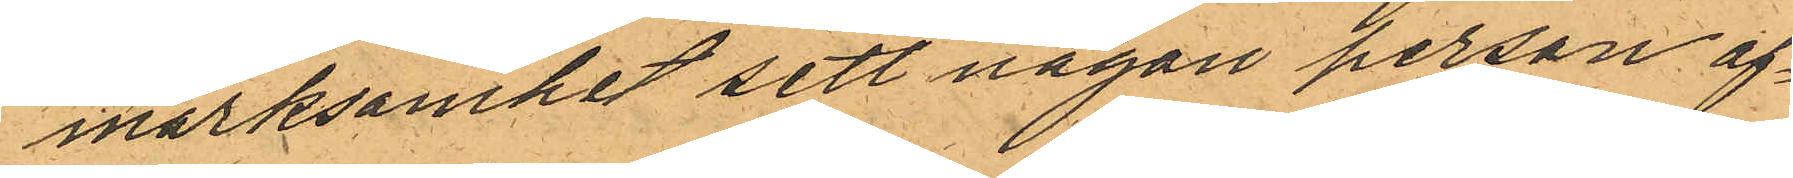märksamhet sett någon person af¬
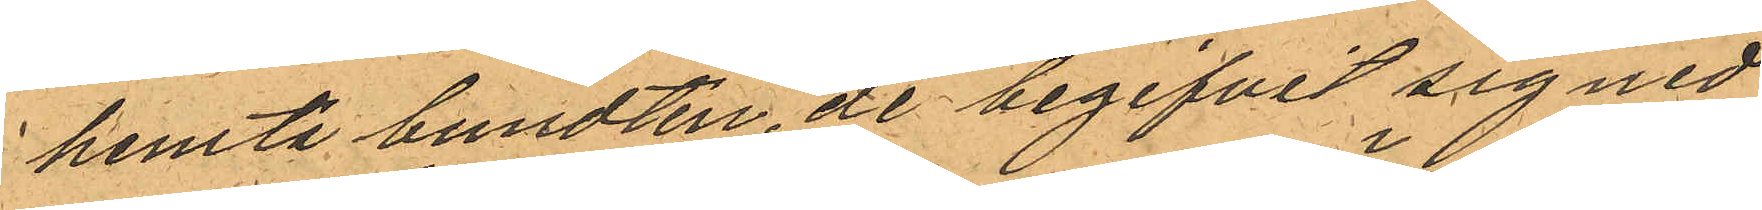hemta bundten, de begifvit sig ned
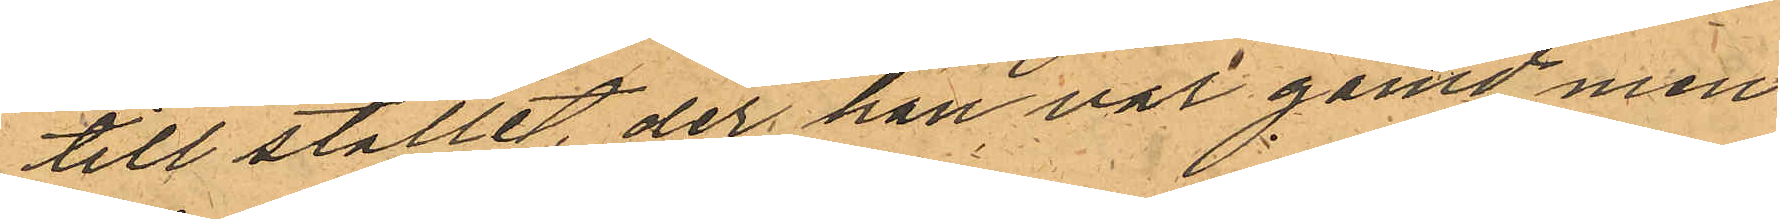till stället, der han var gömd men
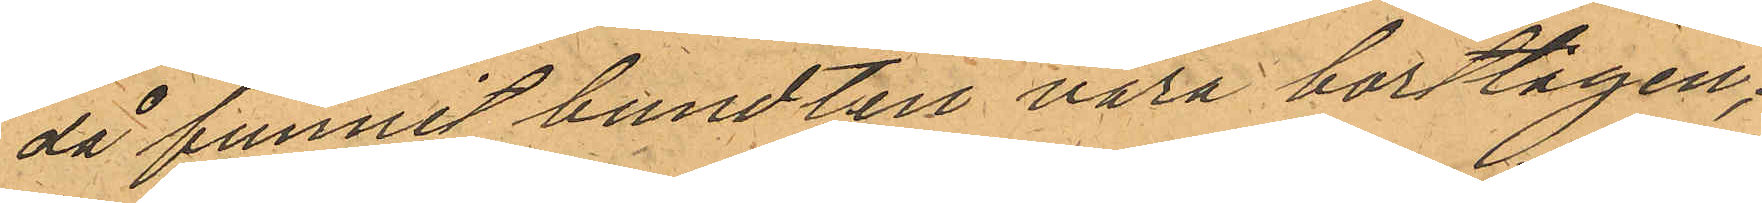då funnit bundten vara borttagen,
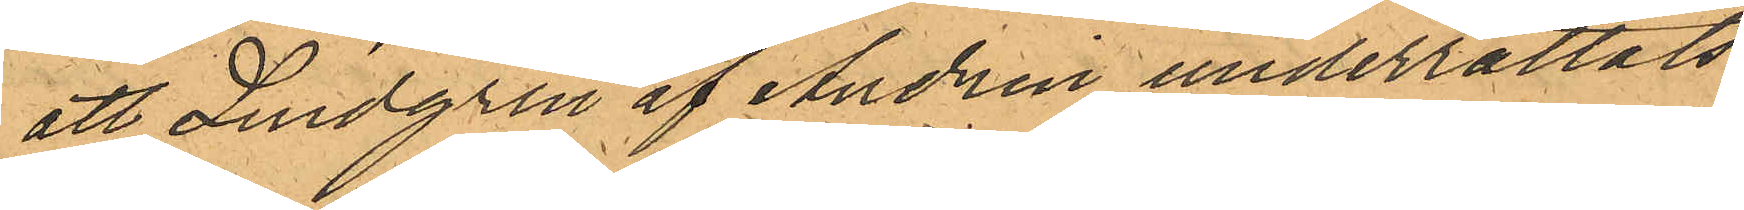att Lindgren af Andrén underrättats
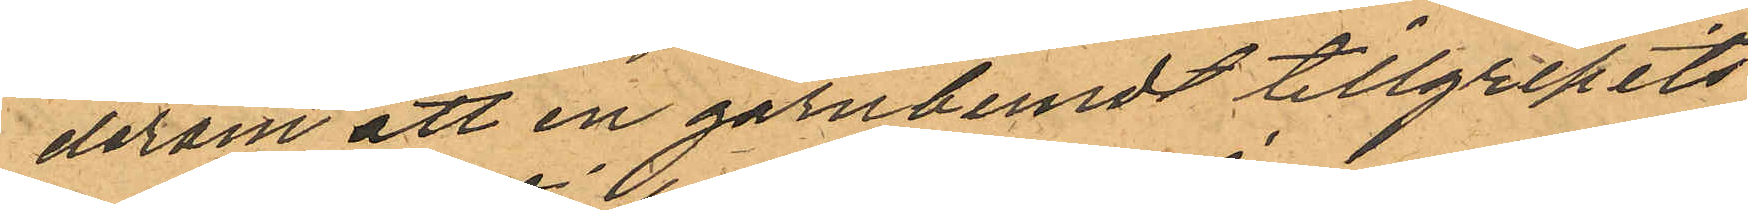derom att en garnbundt tillgripits
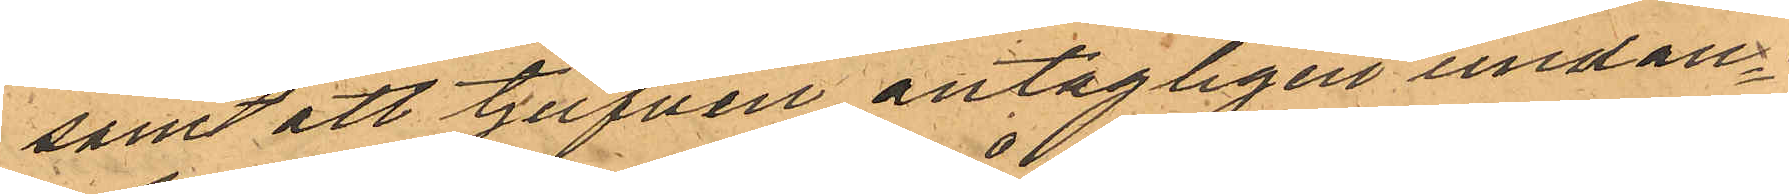samt att tjufven antagligen undan¬
